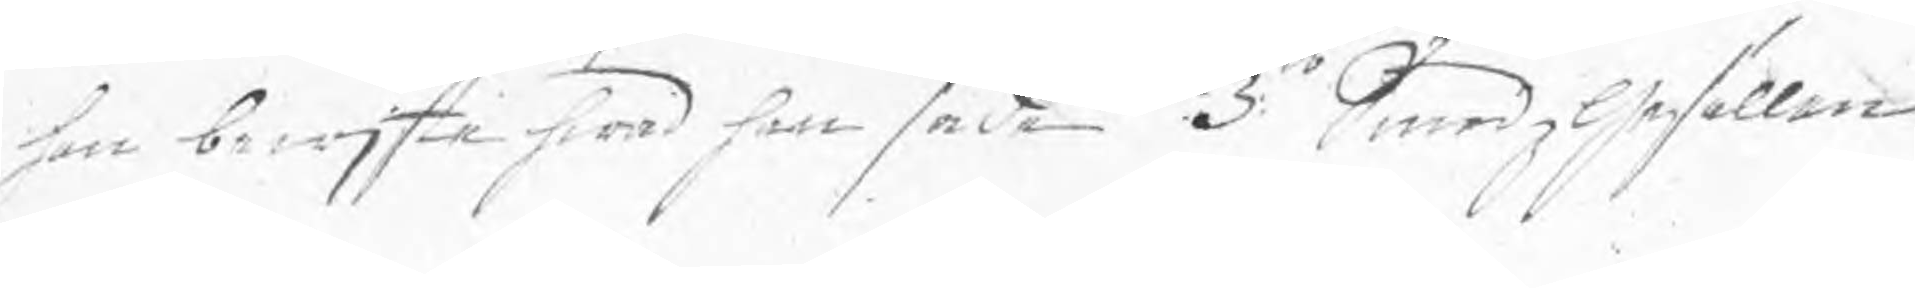han bewjste hwad han sade. 3:to Smedzgesällen
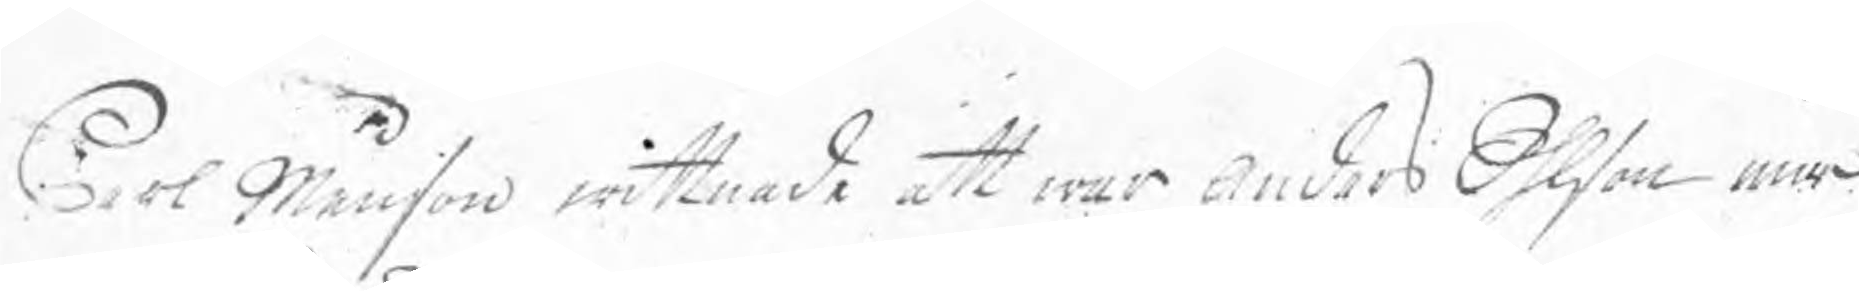Carl Månson wittnade att war Anders Ohlson inne
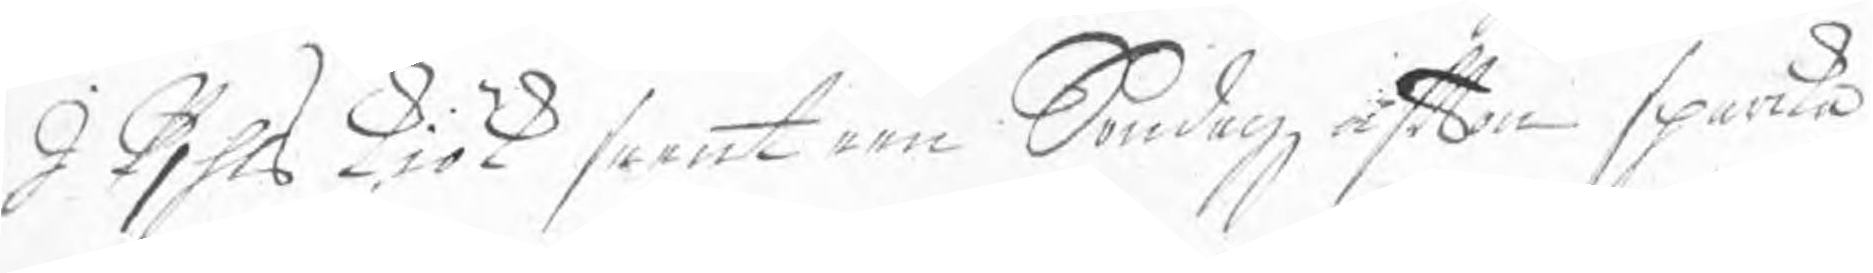I Pjhls kjök seent een Söndagz afton sparka
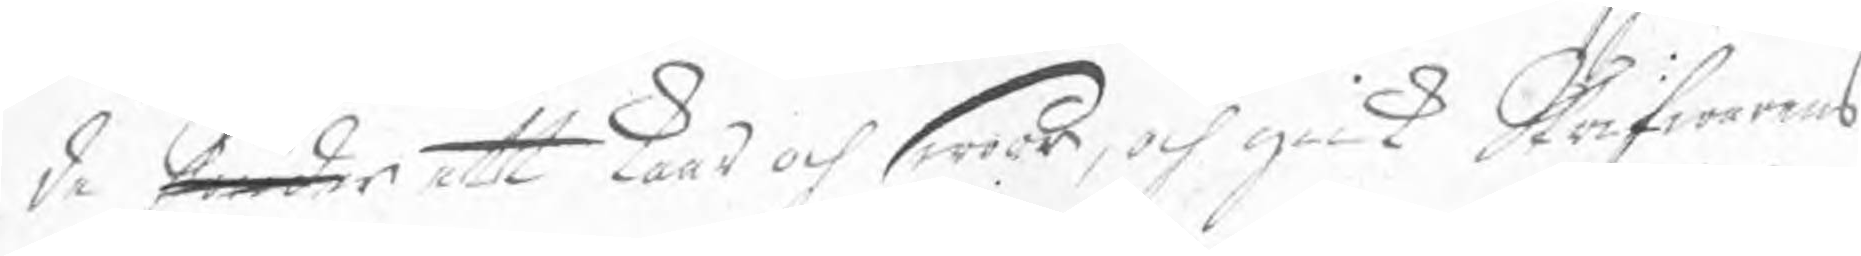de ¬ ett kaar och swoor, och gick Skrifwarens
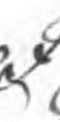I
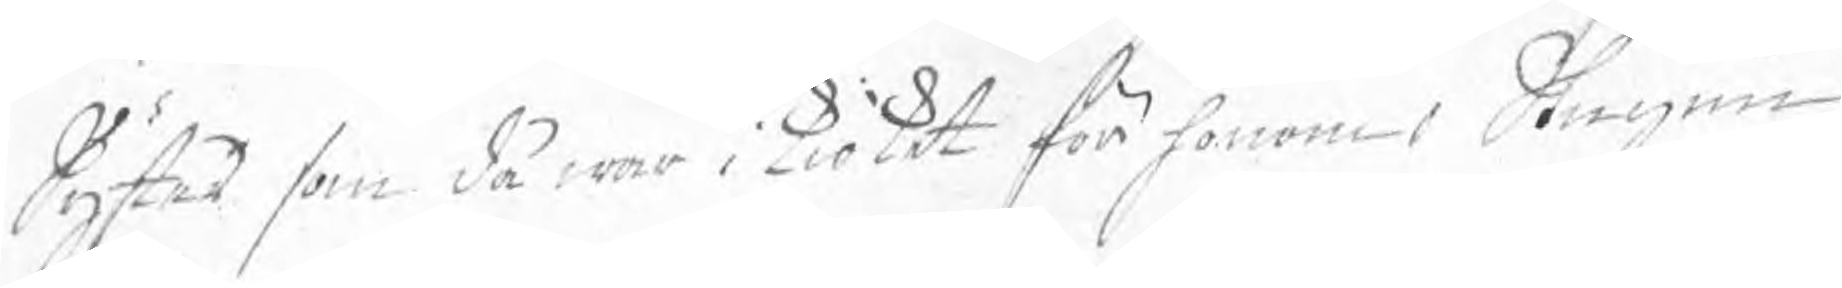Syster som då war i kiöket för honom i Stugun
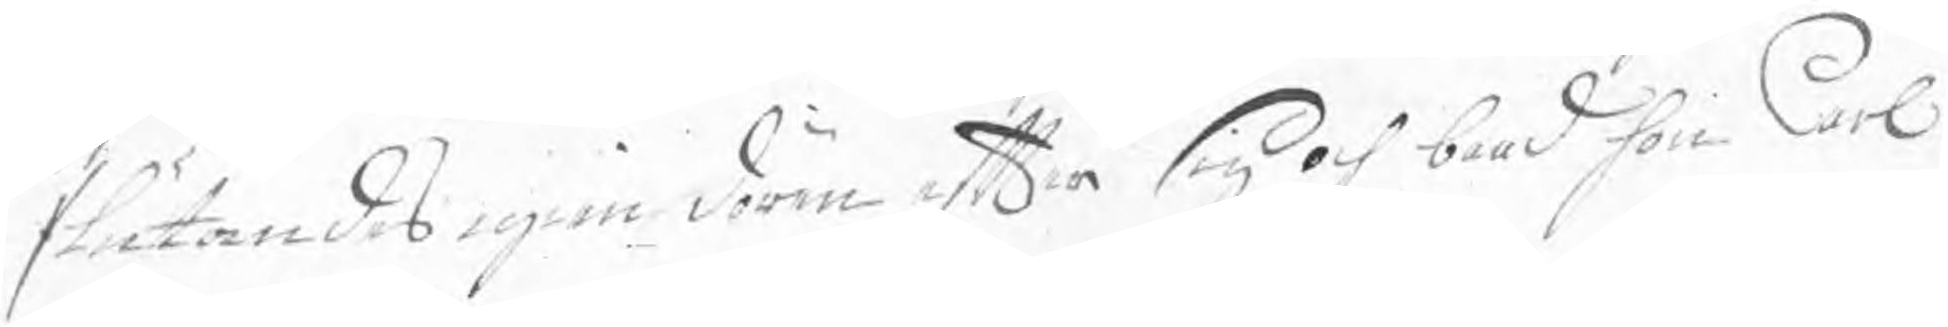slutandes igen dören efter sig och baad hon Carl
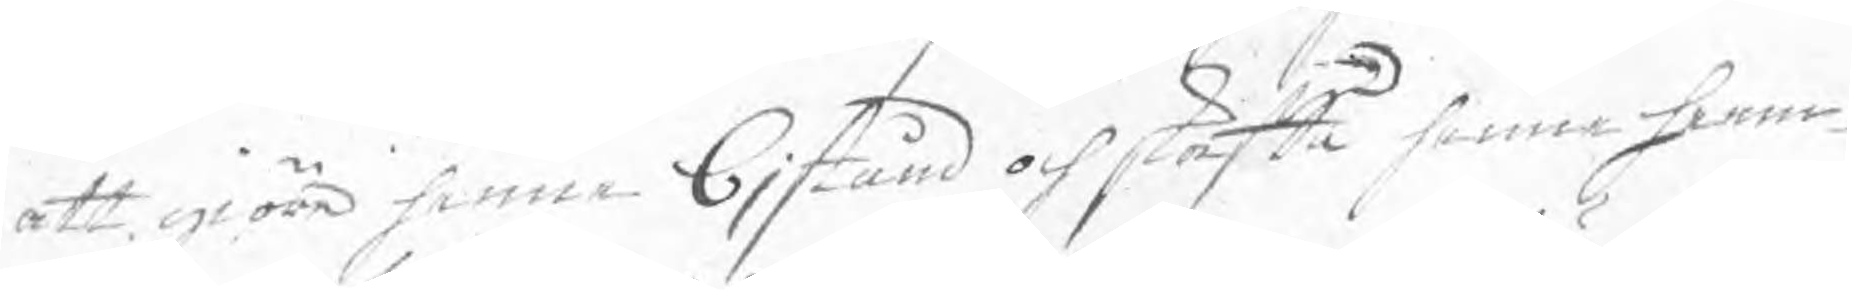att giöra henne bjstånd och stötta henne heem¬
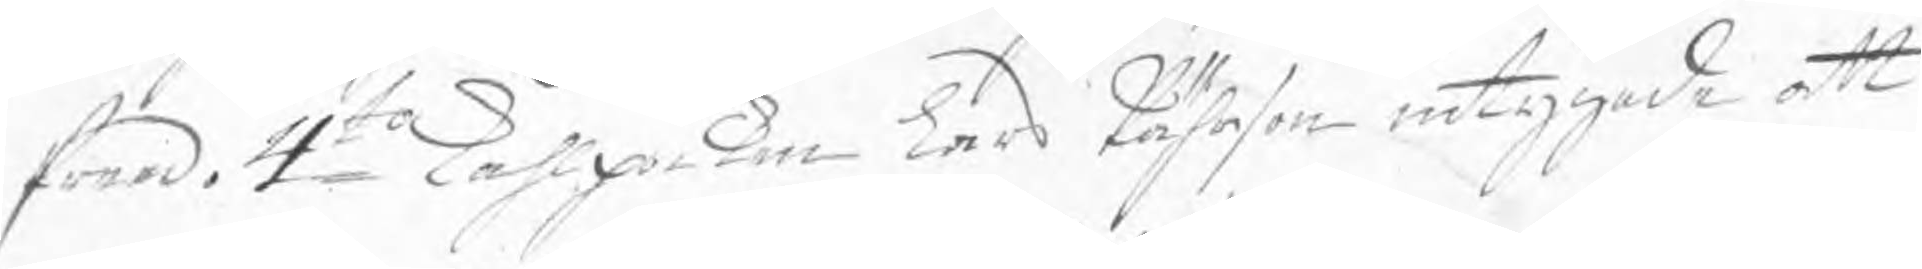freed. 4to Kåhlpoiken Lars Pährson intygade att
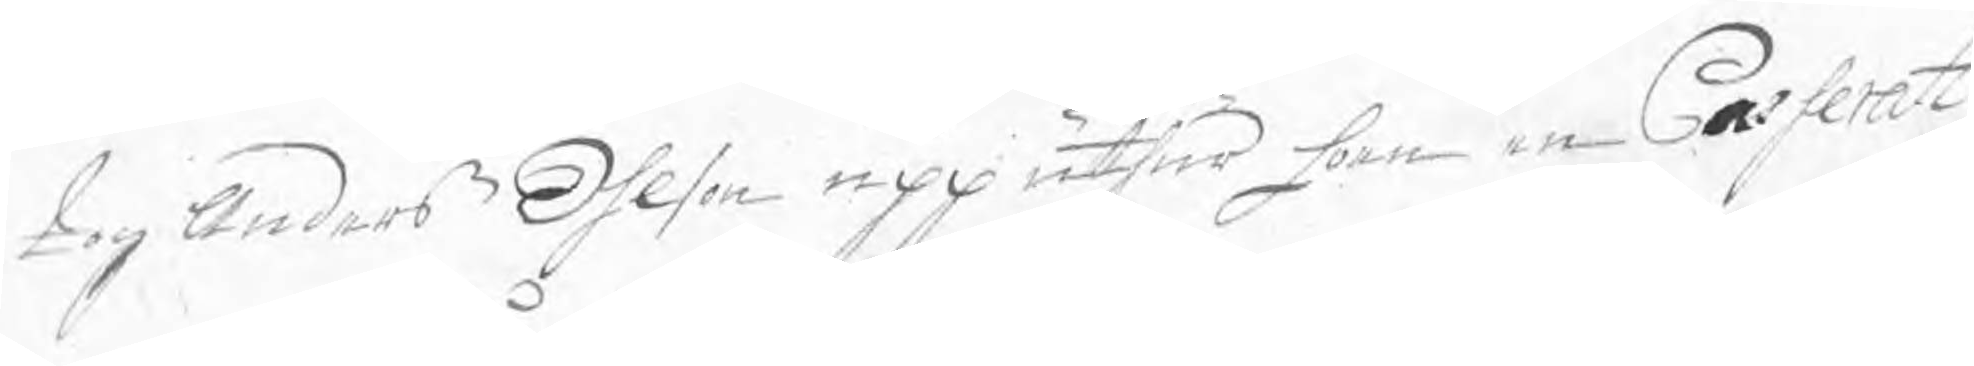tog Anders Ohlson upp uthur hoen en Casserat
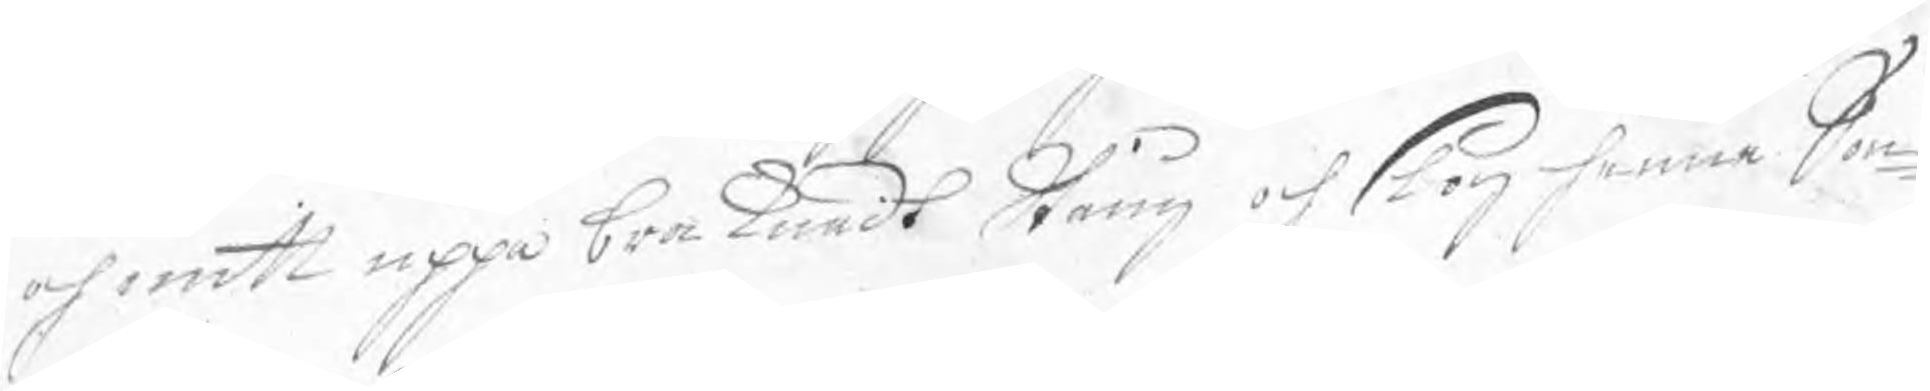och mitt uppå bra kundt Stång och slog henne Sön¬
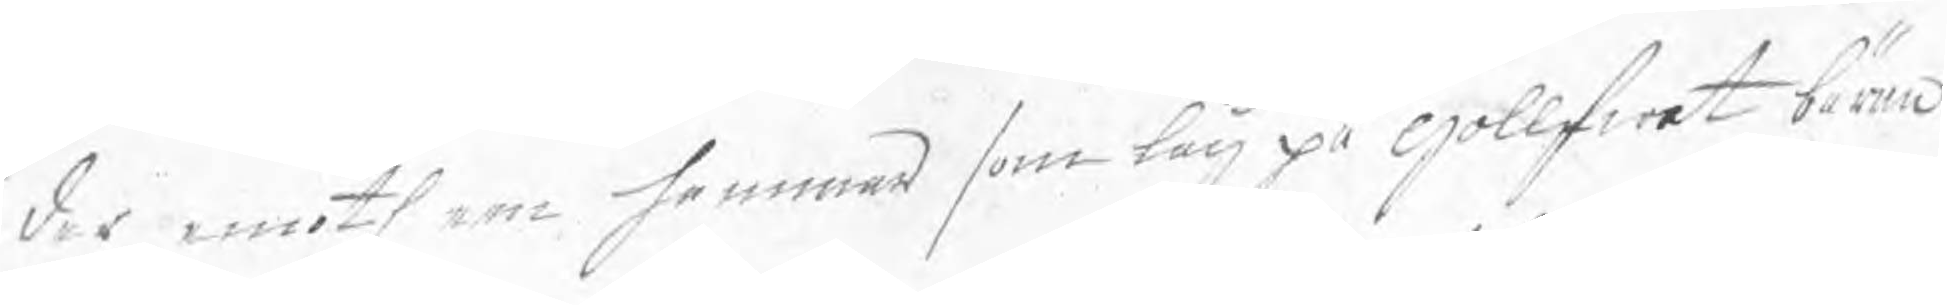der emoth een hammar som låg på gollfwet bäran
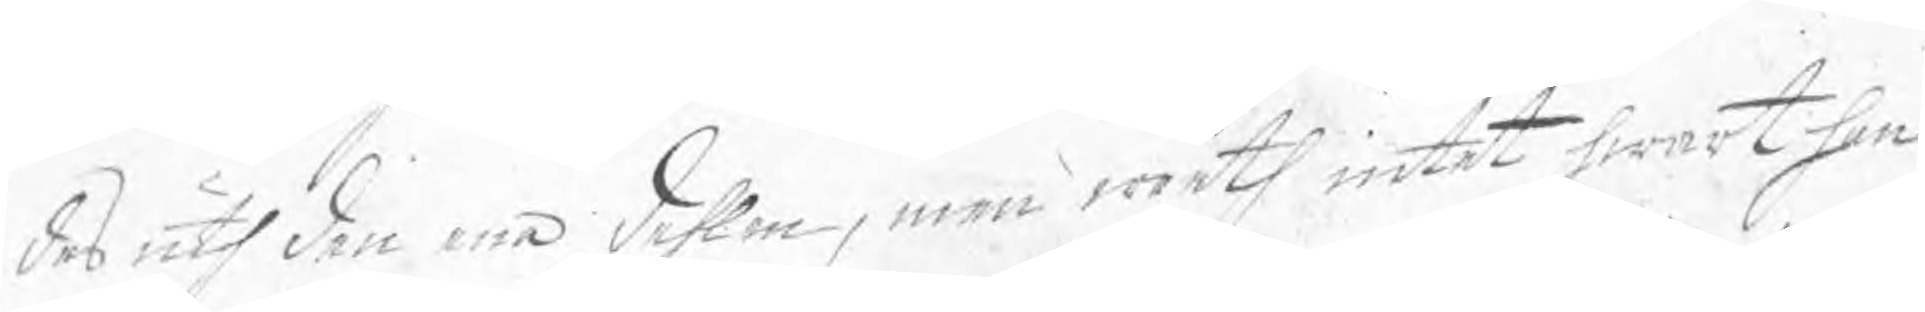des uth den ena dehlen, men weeth intet hwart han
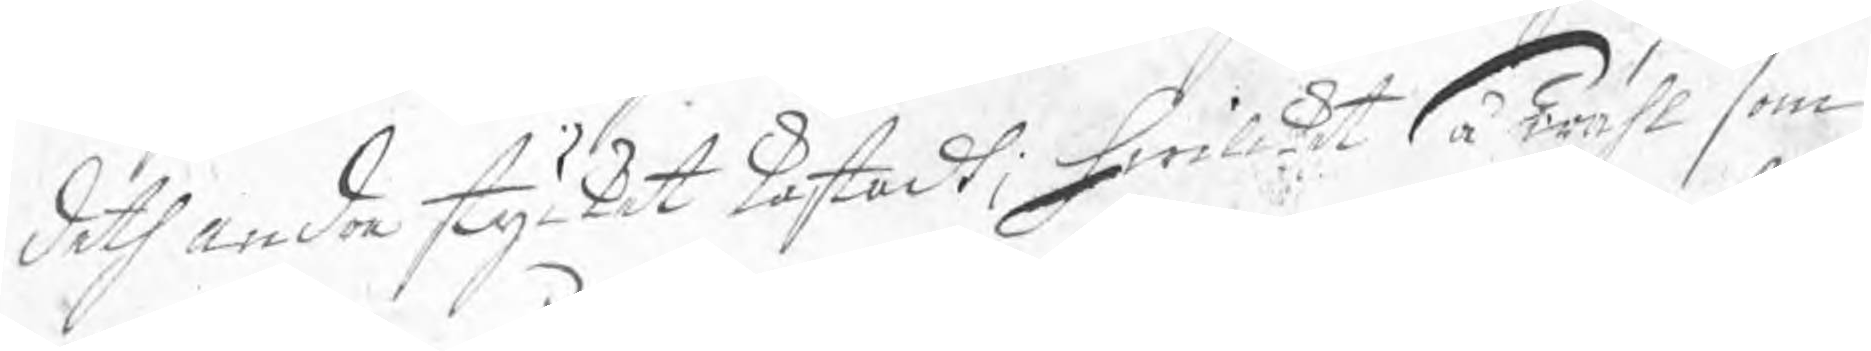deth andra stycket kastadt; hwilket så wähl som
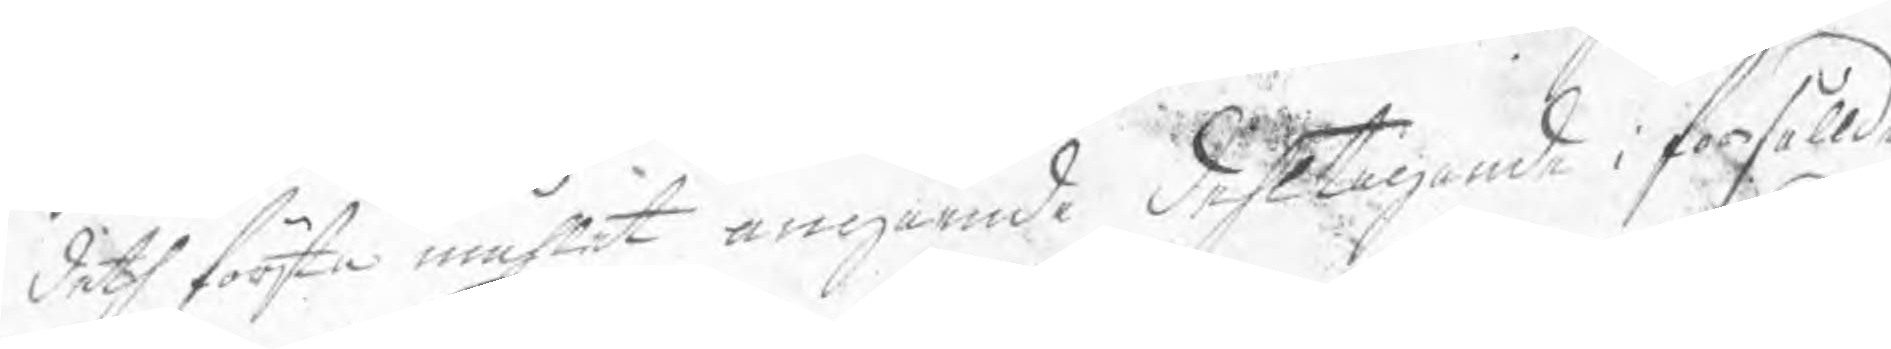deth första måhlet angående dehltagande i försållde
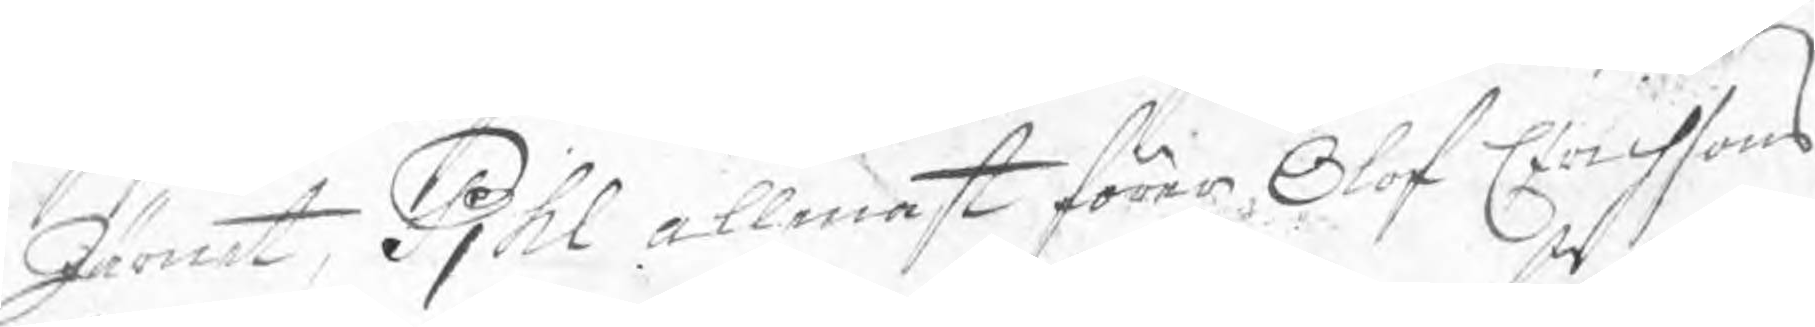Järnet, Pjhl allenast förer Olof Erichsons
